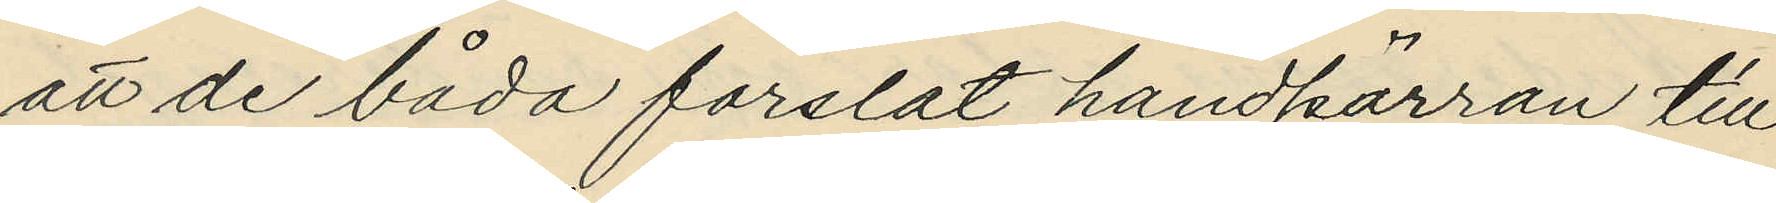att de båda forslat handkärran till
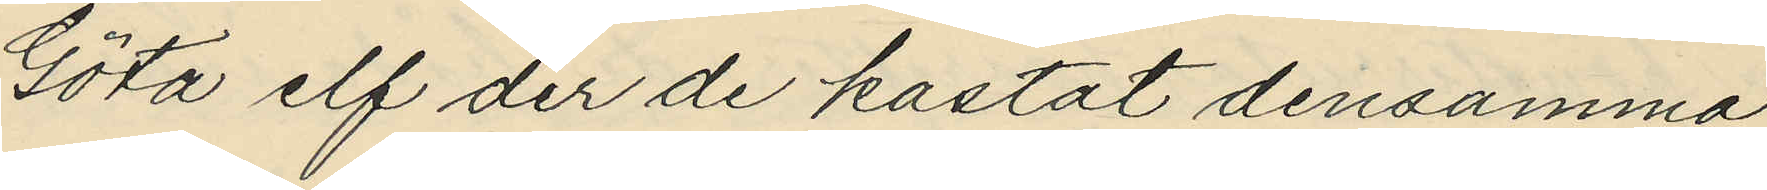Göta elf der de kastat densamma
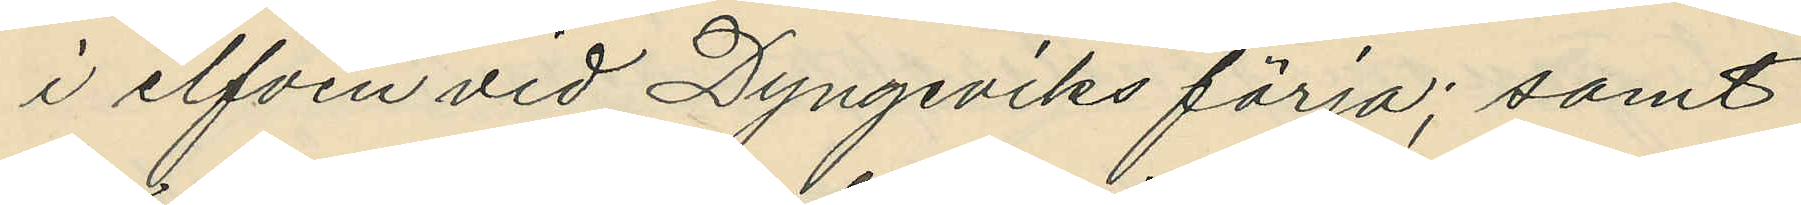i elfven vid Dyngeviks färja; samt
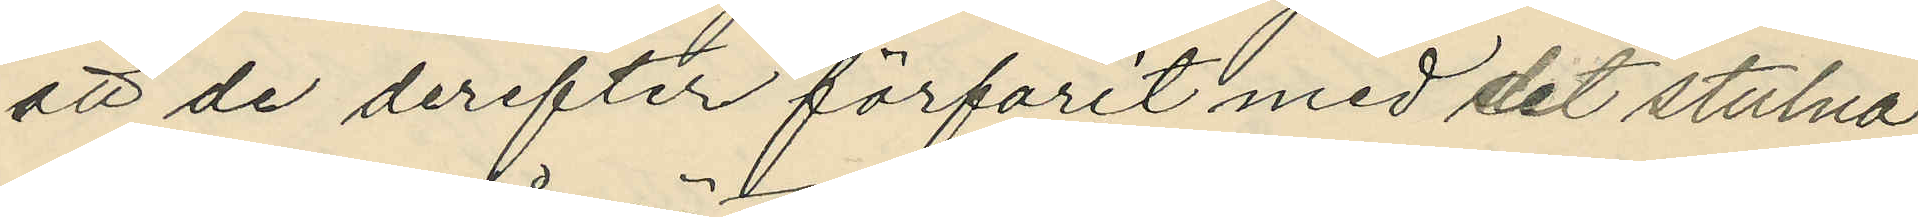att de derefter förfarit med det stulna
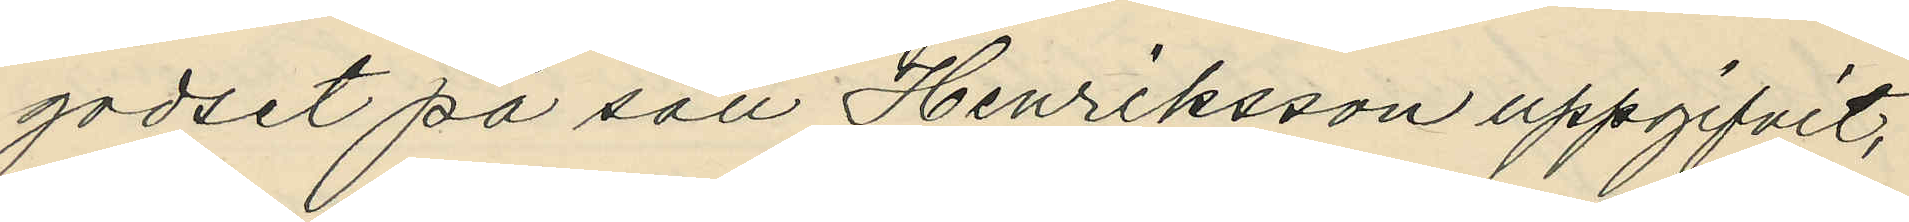godset på sätt Henriksson uppgifvit;
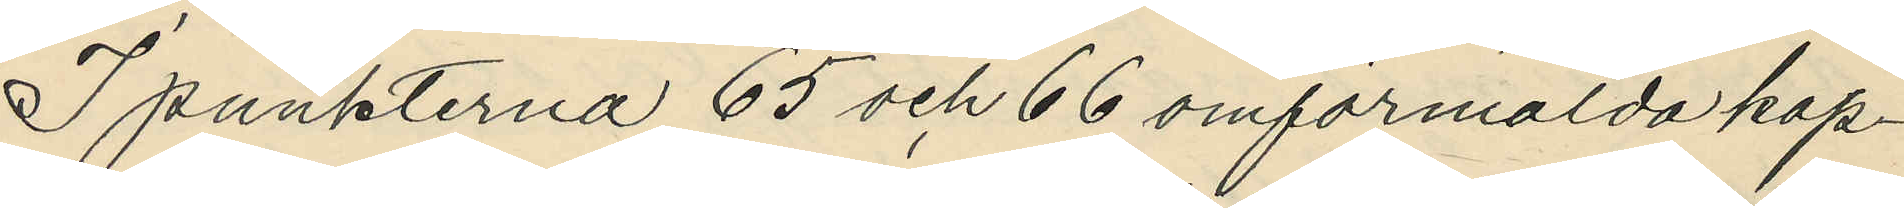I punkterna 65 och 66 omförmalda kap¬
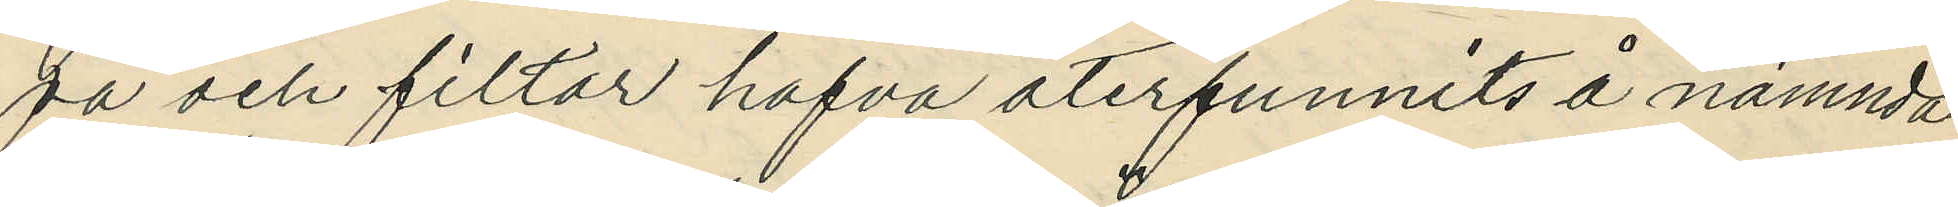pa och filtar hafva återfunnits å nämnda
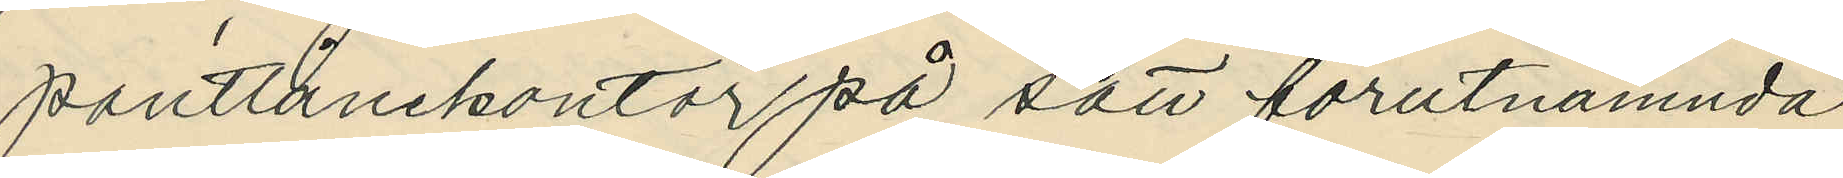pantlånekontor på sätt förutnämnda
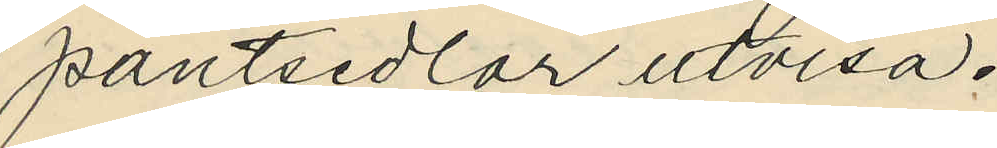pantsedlar utvisa.
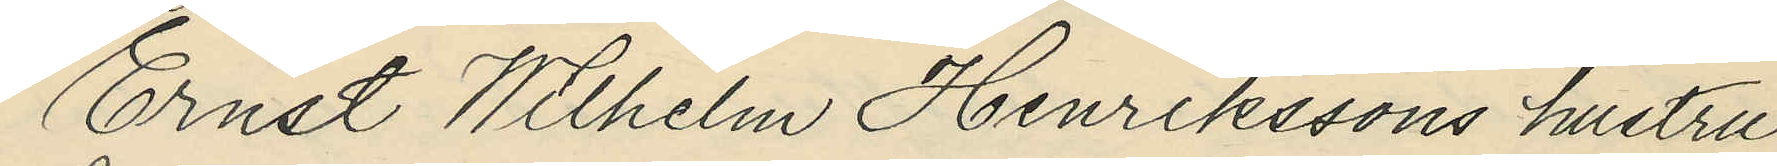Ernst Wilhelm Henrikssons hustru
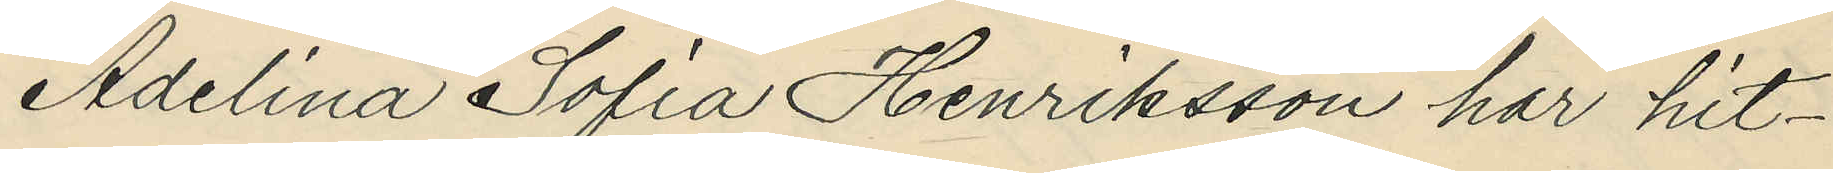Adelina Sofia Henriksson har hit¬
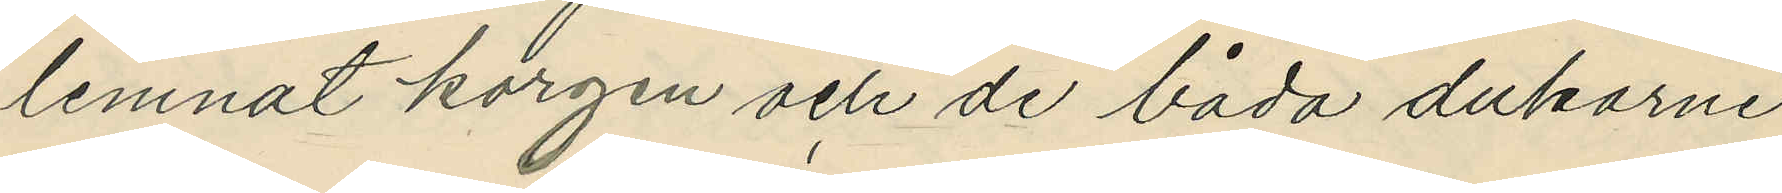lemnat korgen och de båda dukarne
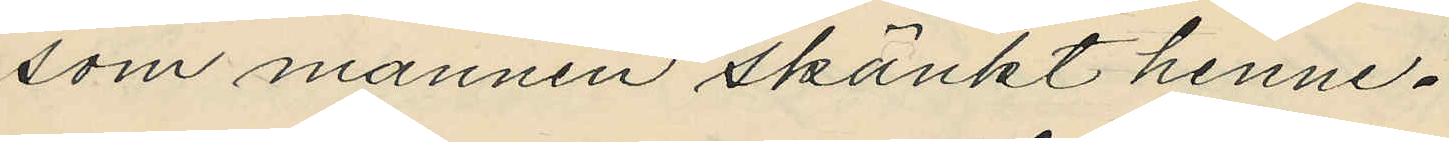som mannen skänkt henne.
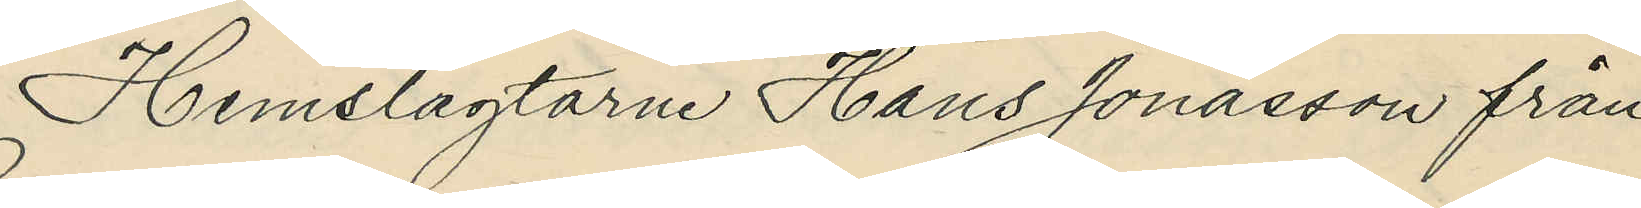Hemslagtarne Hans Jonasson från
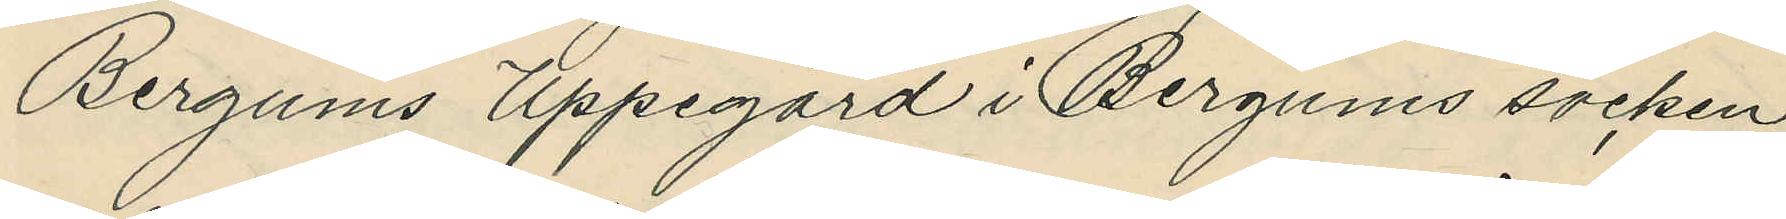Bergums Uppegård i Bergums socken
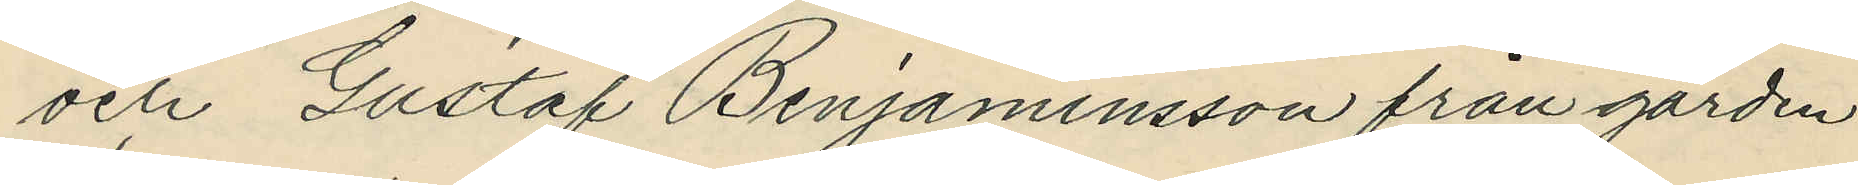och Gustaf Benjaminsson från gården
